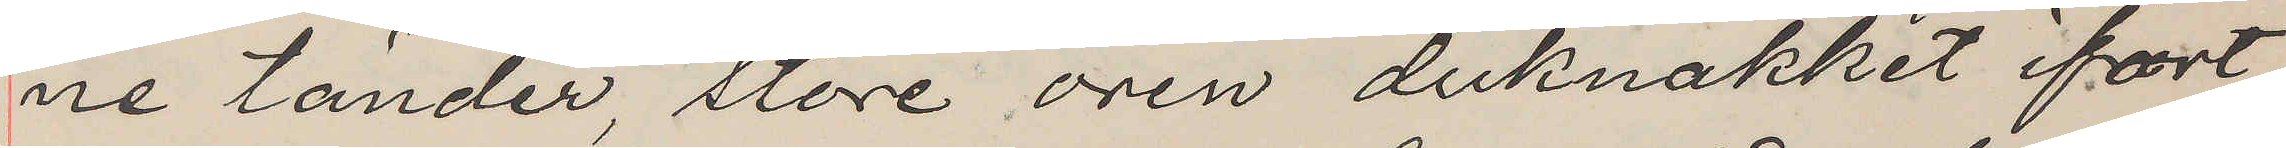ne tänder, store ören duknakket ifört
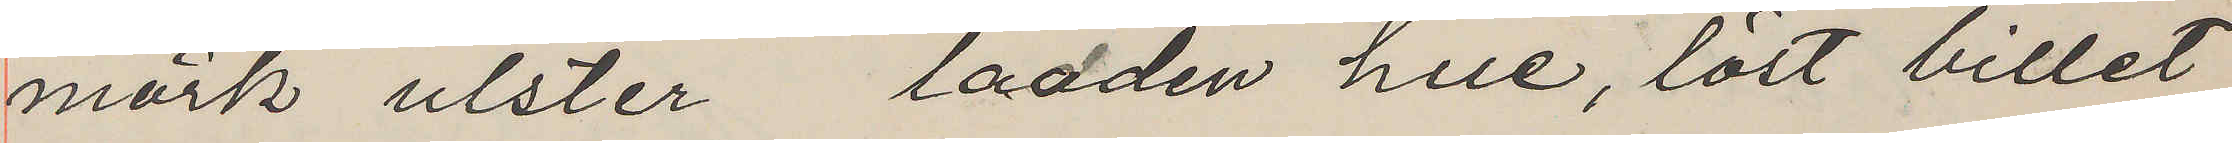mörk ulster ladden hue, löst billet
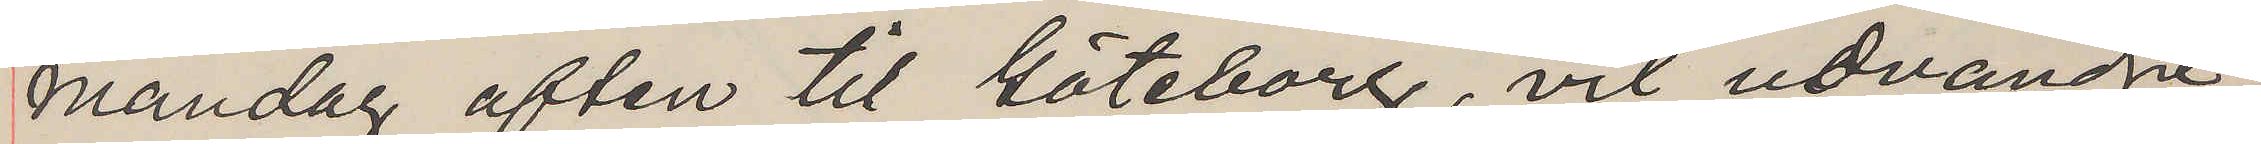mandag aften til Göteborg, vil udvandre,
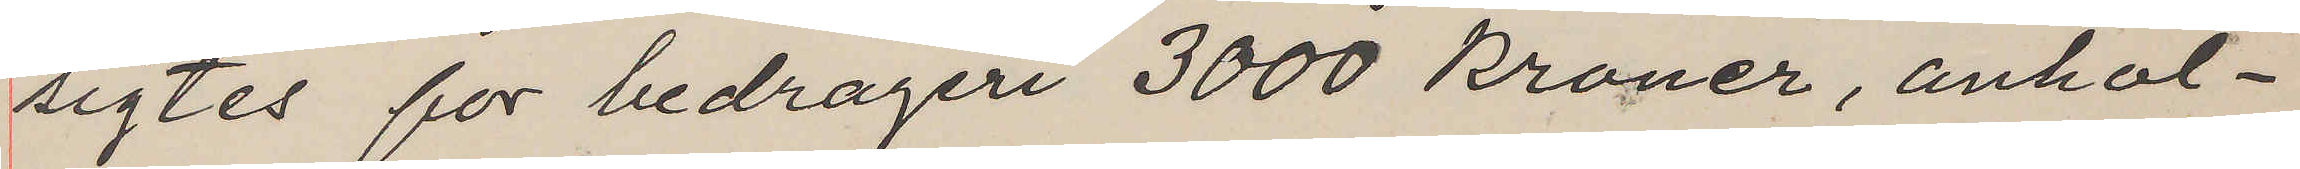sigtes for bedrageri 3000 kroner, anhol¬
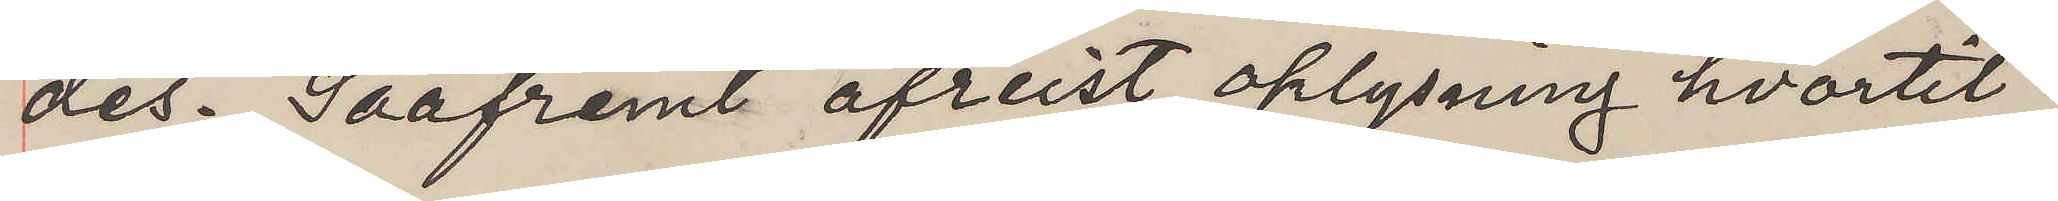des. Saafremt afreist oplysning hvartil.
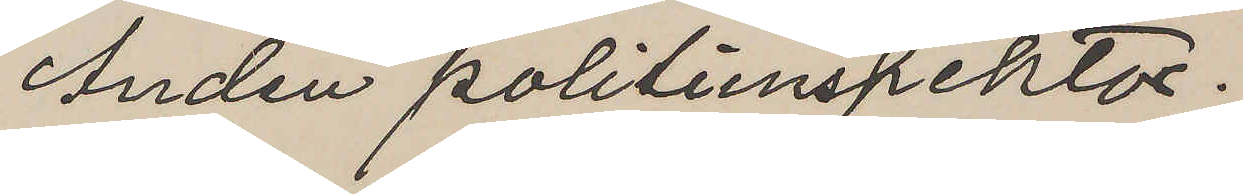Anden politiinspektor.
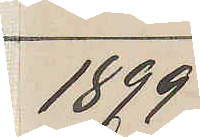1899
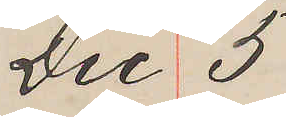Dec 5
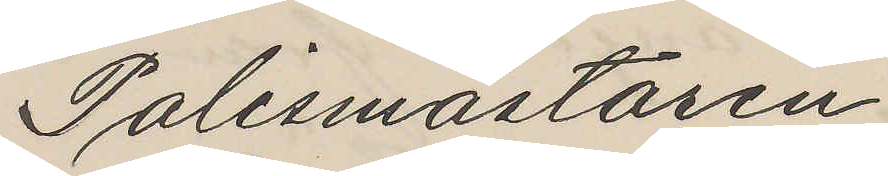Polismästaren
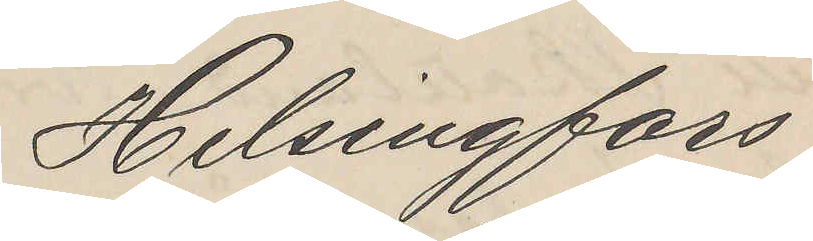Helsingfors
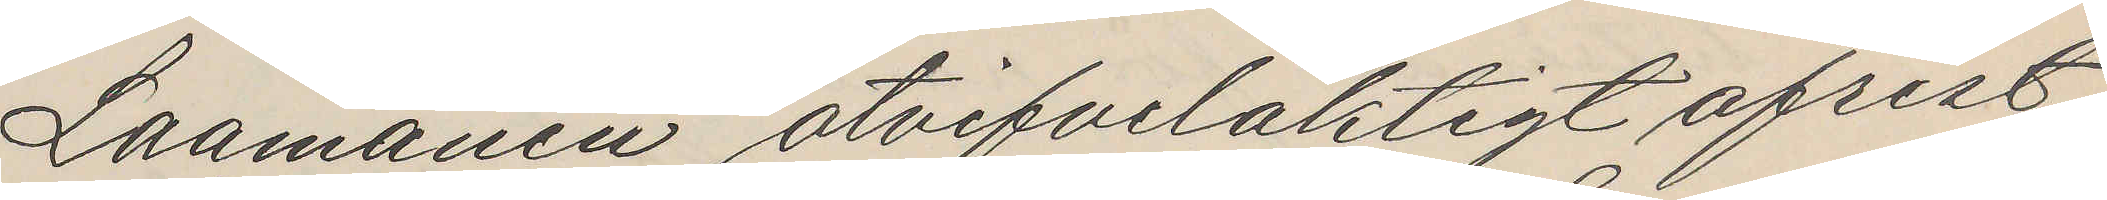Laamanen otvifvelaktigt afrest
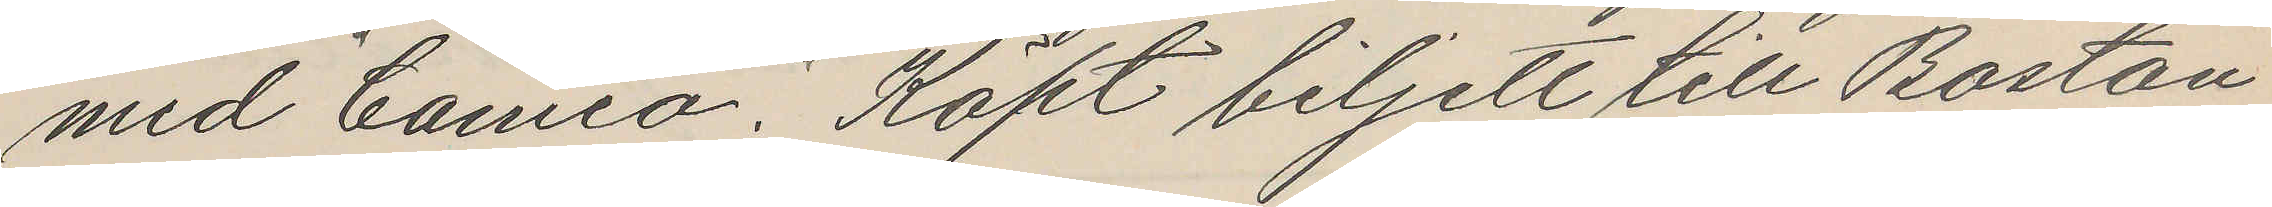med "Cameo". Köpt biljett till Boston
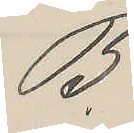B.
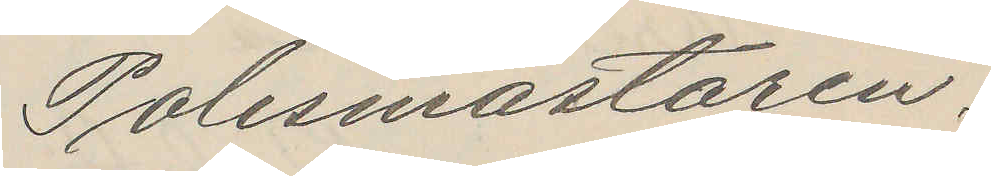Polismästaren.
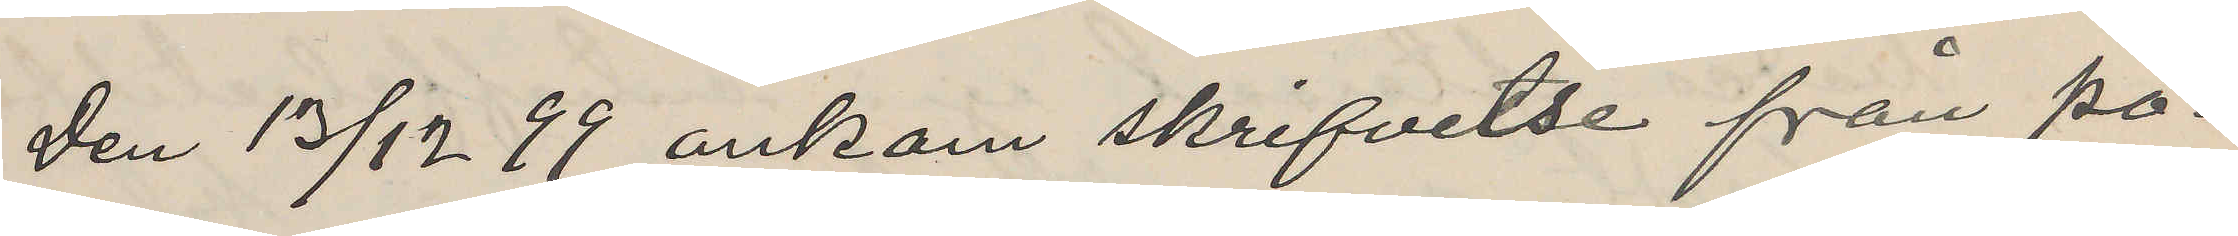Den 13/12 99 ankom skrifvelse från po¬
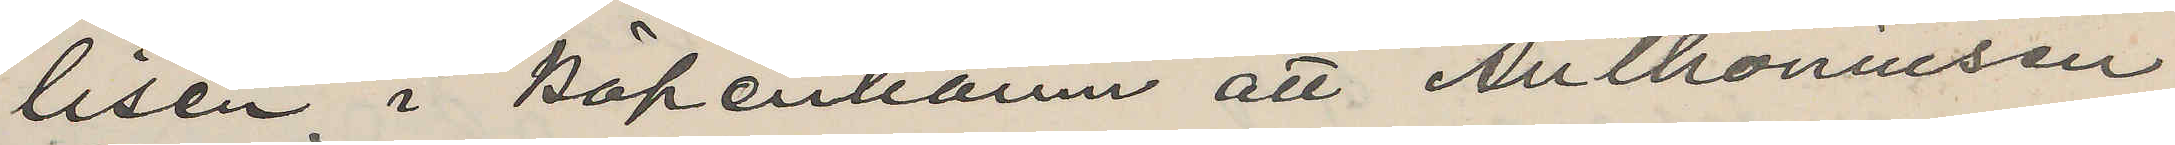lisen i Köpenhamn att Anthoniusen
